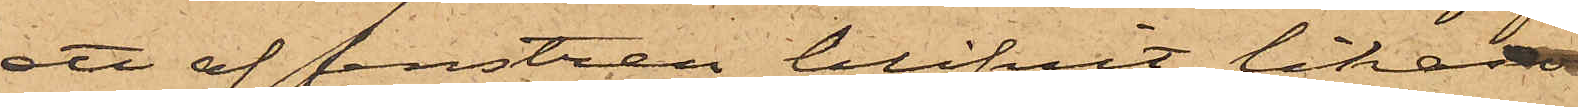ett af fenstren blifvit likasom
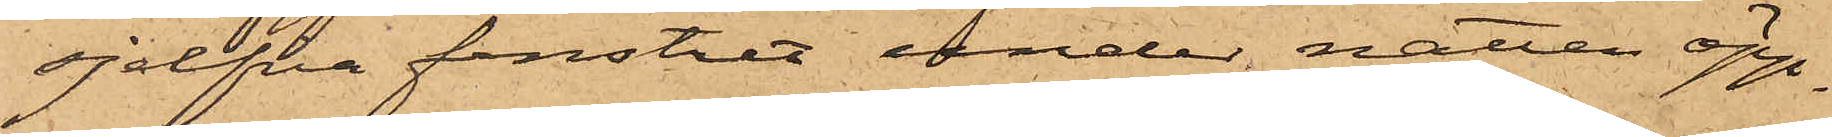sjelfva fenstret under natten öpp¬
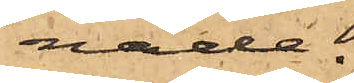nade.
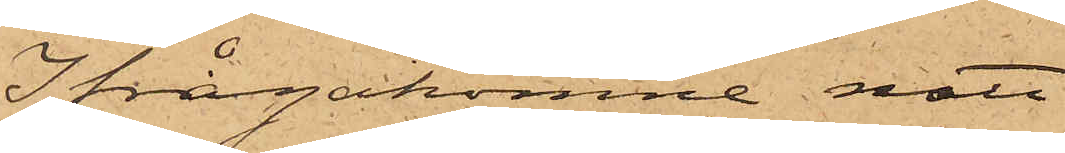Ifrågakomne natt
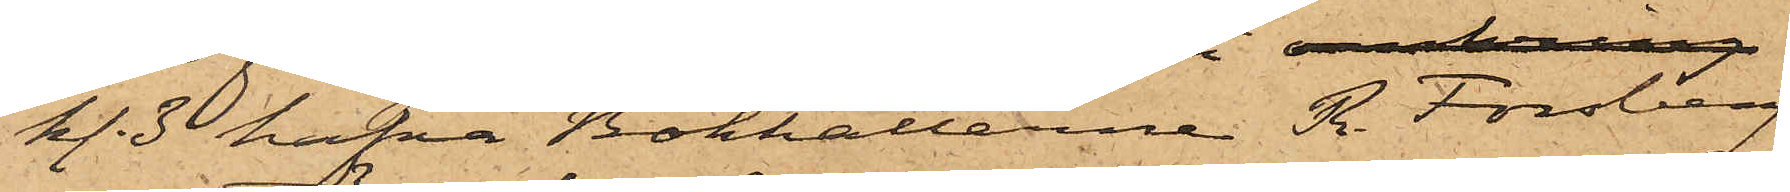kl. 3 hafva Bokhållarne R. Forsberg
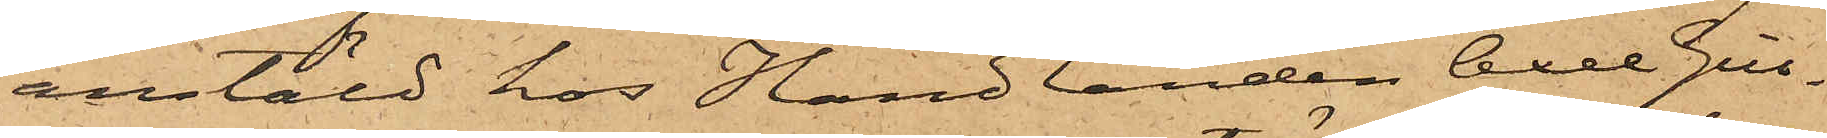anstäld hos Handlanden Axel Gill¬
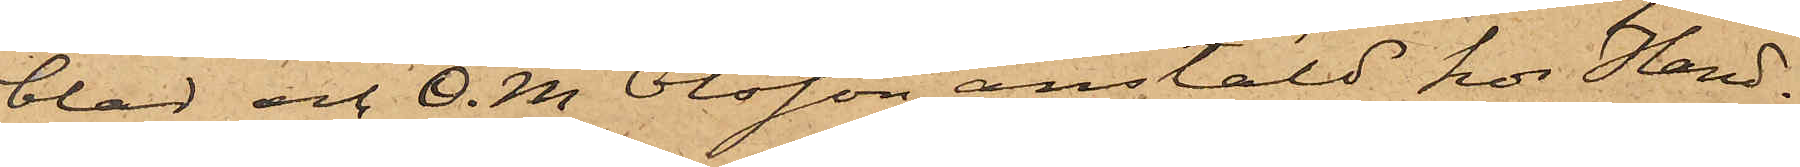blad och O. M Olsson, anstäld hos Hand¬
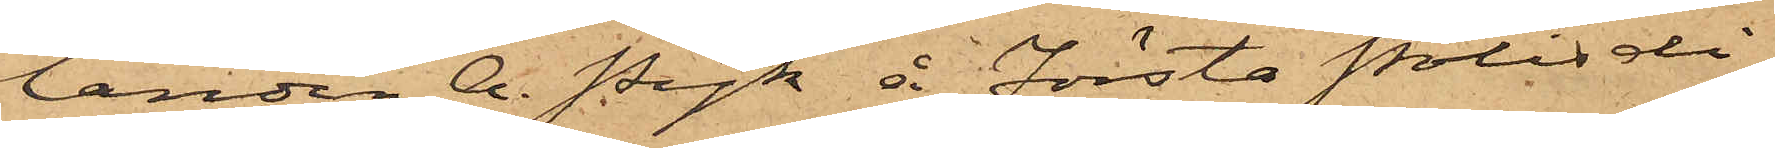landen A. Pyk å Första Polisdi¬
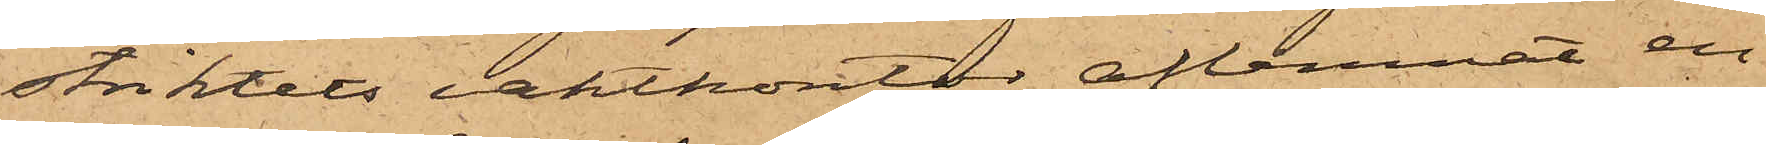striktets vaktkontor aflemnat en
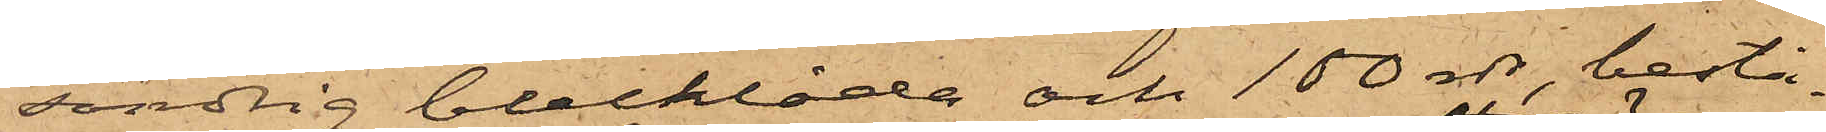söndrig blecklåda och 100 rdr, bestå¬
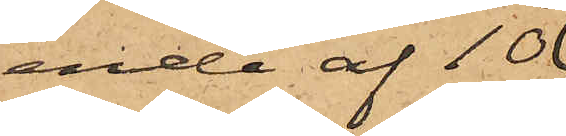ende af 10
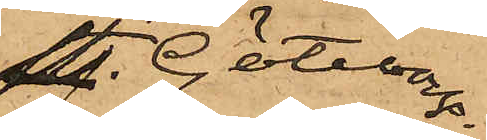st. Göteborgs
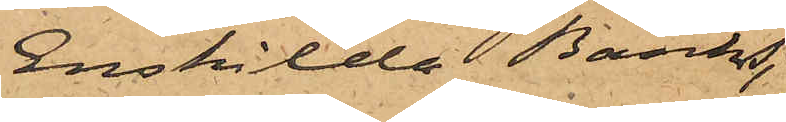Enskilda Banks
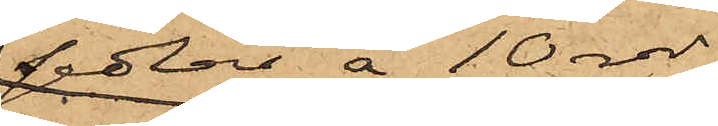sedlar å 10 rdr,
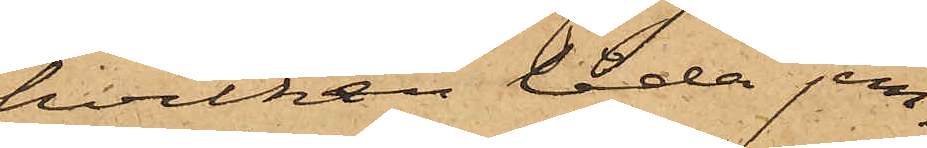hvilken låda jem¬
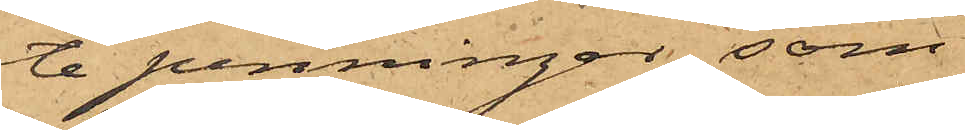te penningar, som
